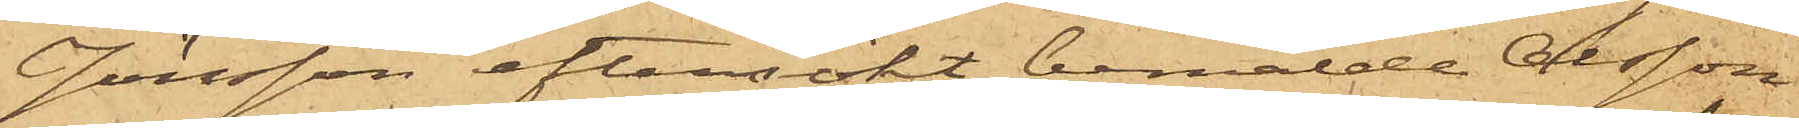Jönsson eftersökt bemälde Olsson
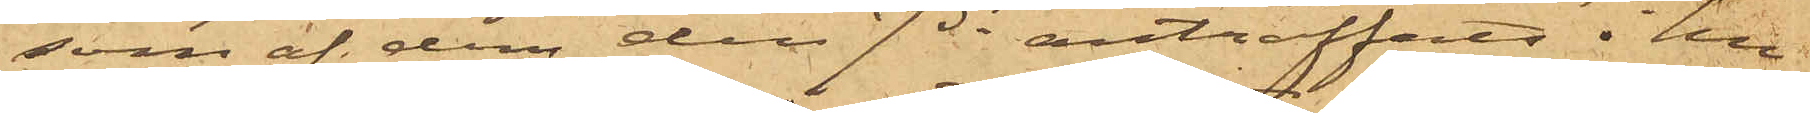som af dem den 7 ds anträffats i hu¬
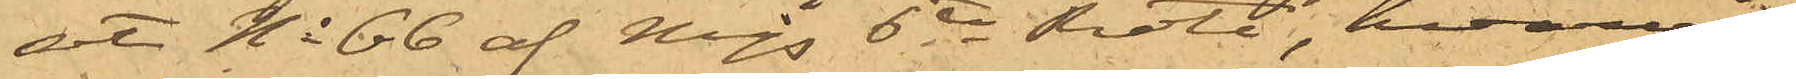set No 66 af Majs 6te Rote, hvarvid
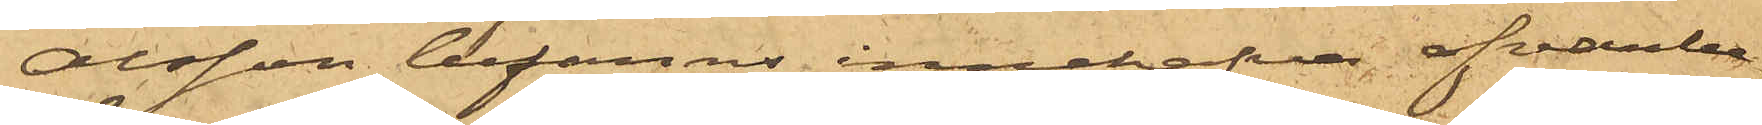Olsson befanns innehafva ofvanbe¬
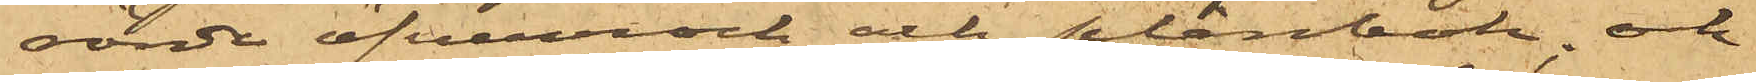rörde öfverrock och plånbok; och
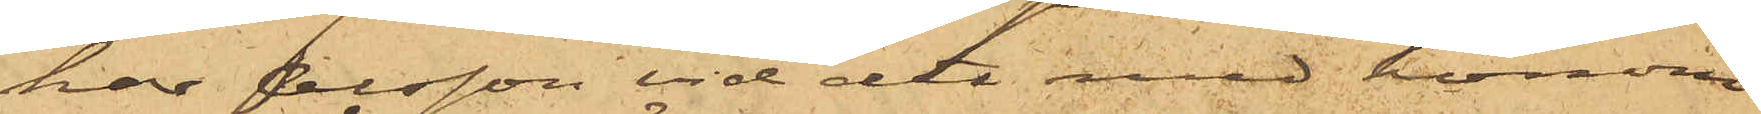har Olsson vid det med honom
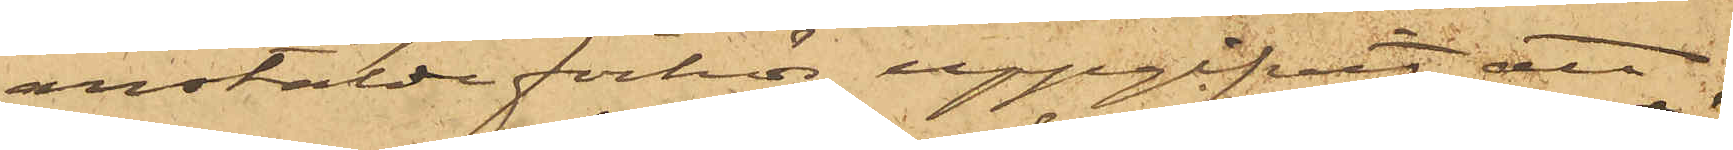anstälde förhör uppgifvit, att
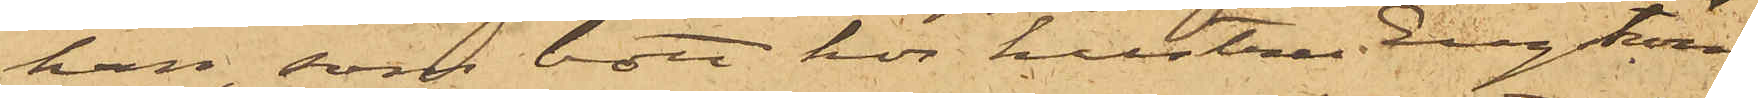han, som bott hos hustru Engström
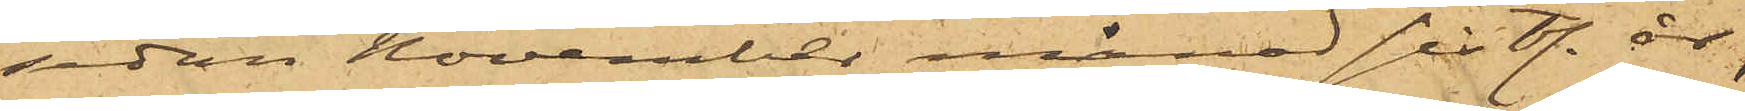sedan November månad sist. år,
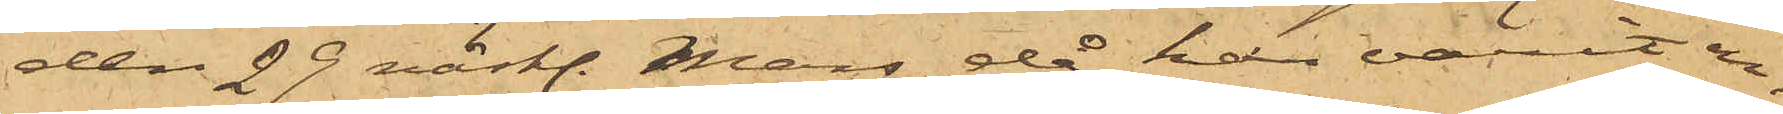den 29 sist. Mars, då han varit en¬
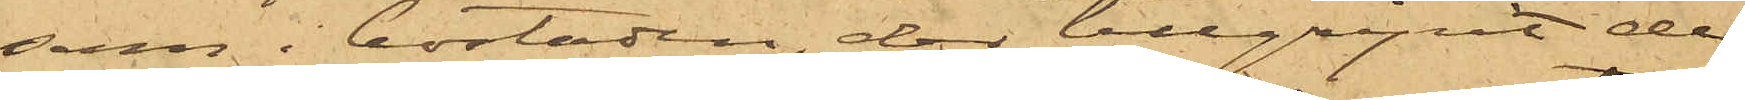sam i bostaden, der tillgripit de
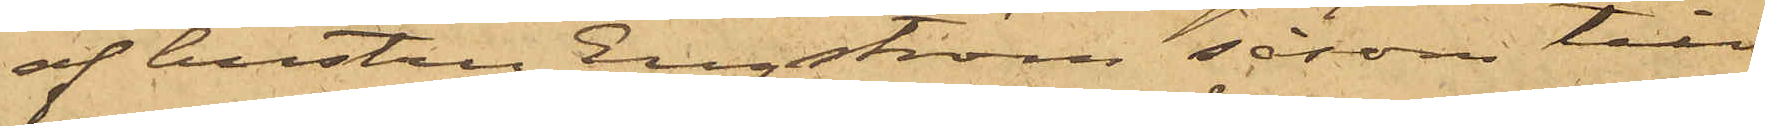af hustru Engström såsom till¬
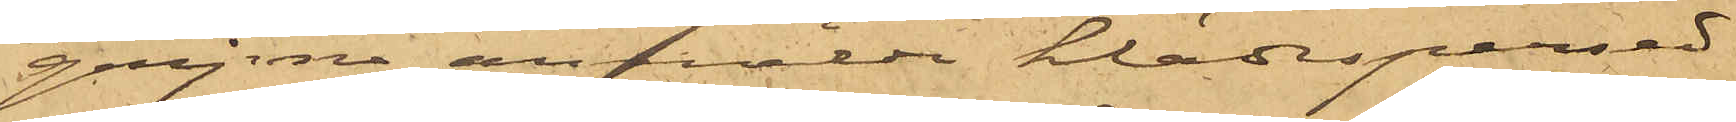gripne anmälde klädespersed¬
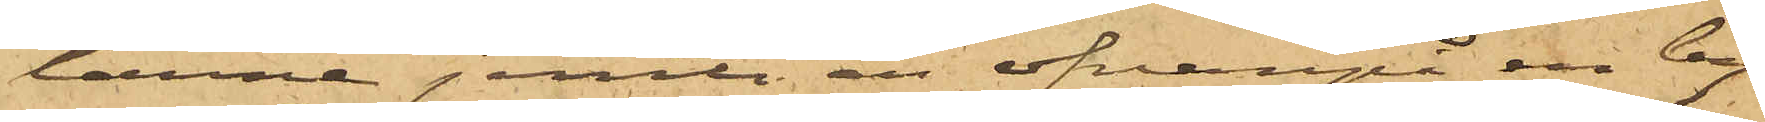larne jemte en ofvanpå en by¬
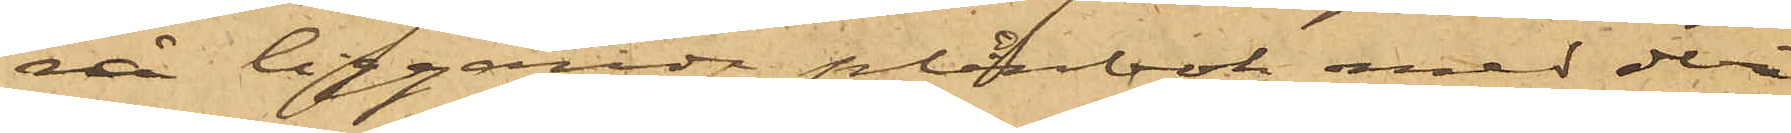rå liggande plånbok med deri
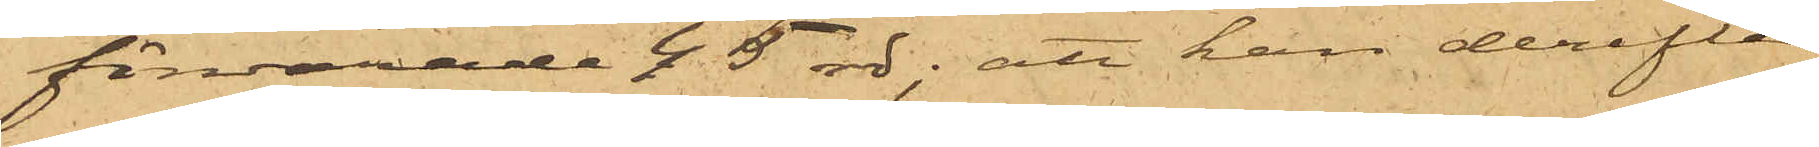förvarade 45 rdr; att han derefter
